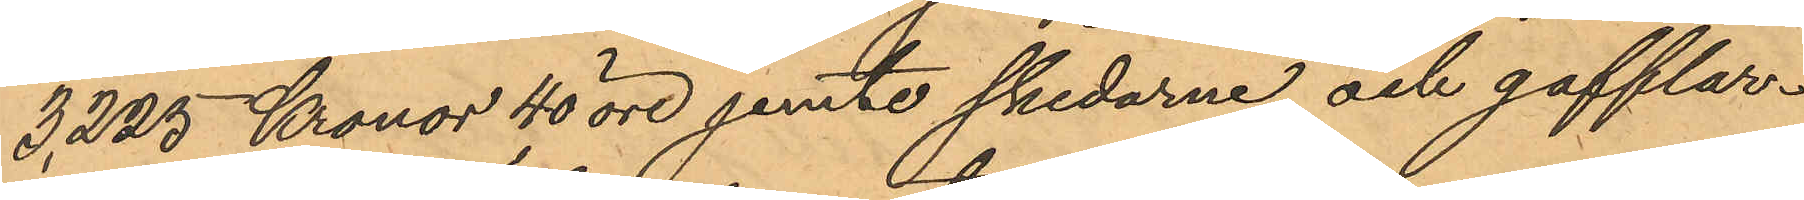3,225 Kronor 40 öre jemte skedarne och gafflar¬
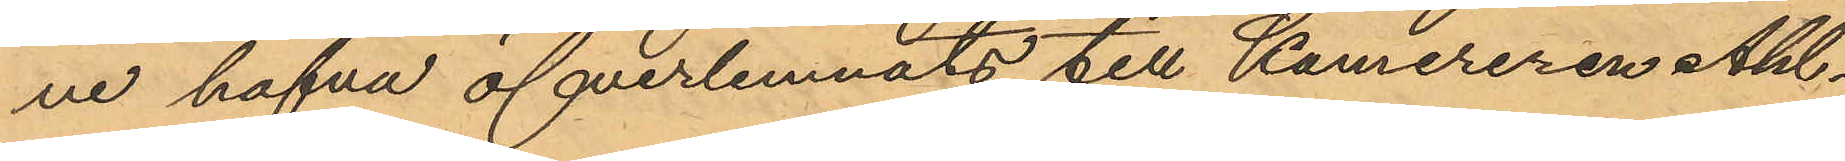ne hafva öfverlemnats till Kamereren Ahl¬
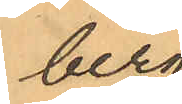berg.
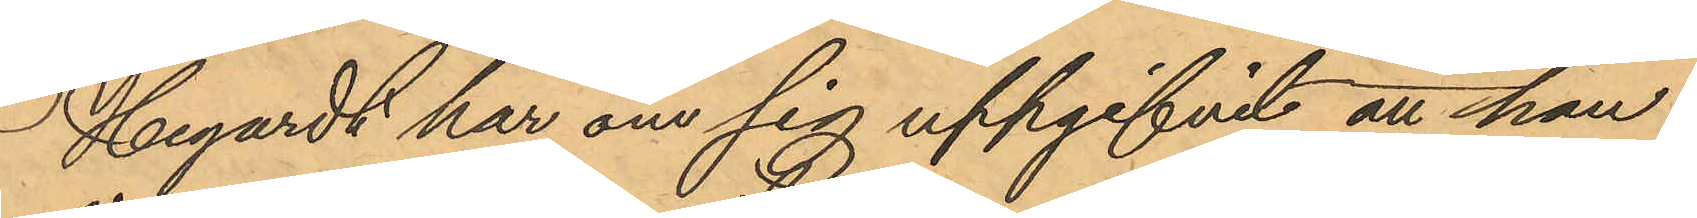Hegardt har om sig uppgifvit att han
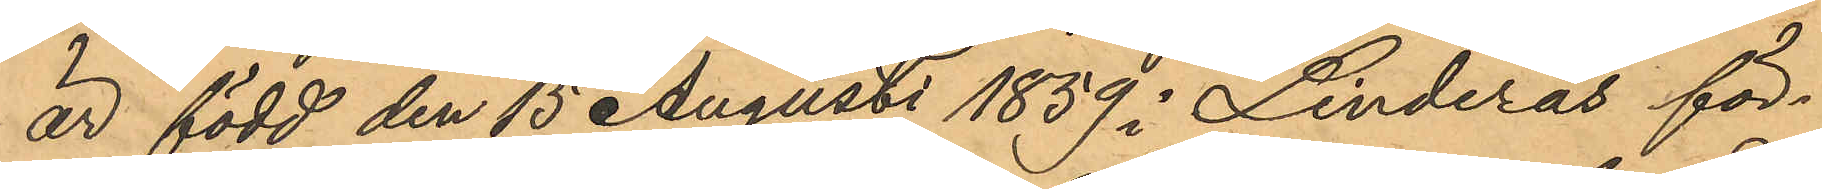är född den 15 Augusti 1859 i Linderås för¬
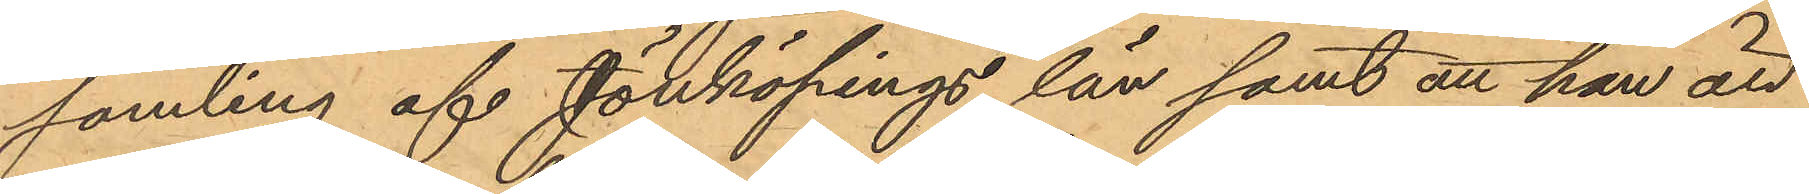samling af Jönköpings län samt att han är
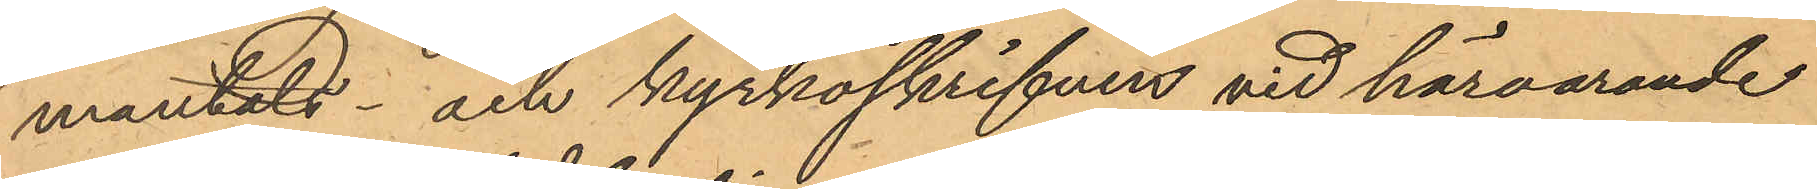mantals- och kyrkoskrifven vid härvarande
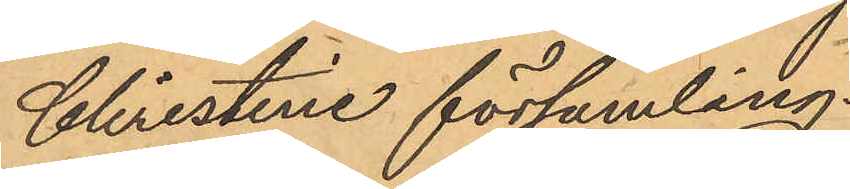Christine församling.
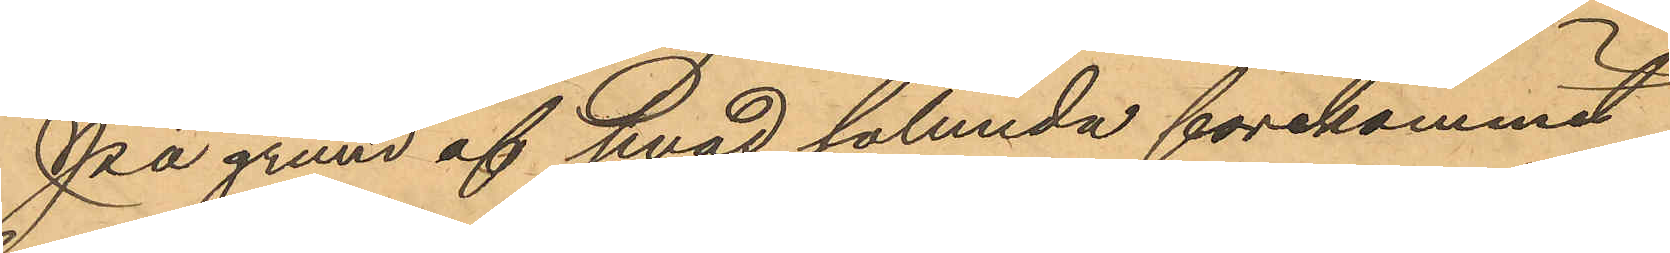På grund af hvad sålunda förekommit
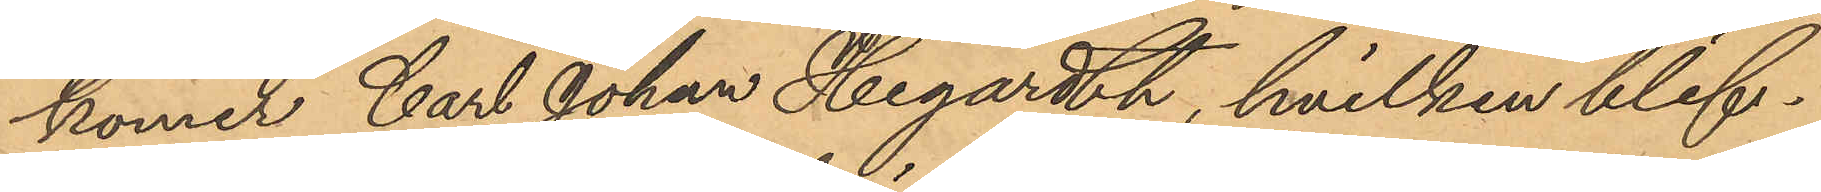komer Carl Johan Hegardth, hvilken blif¬
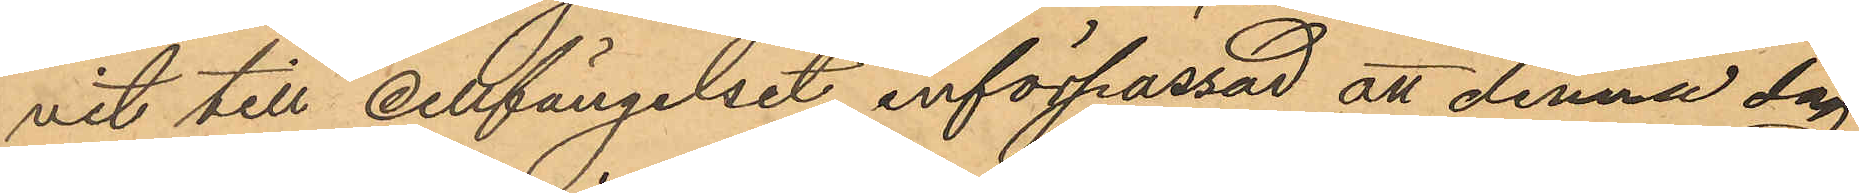vit till cellfängelset införpassad att denna dag
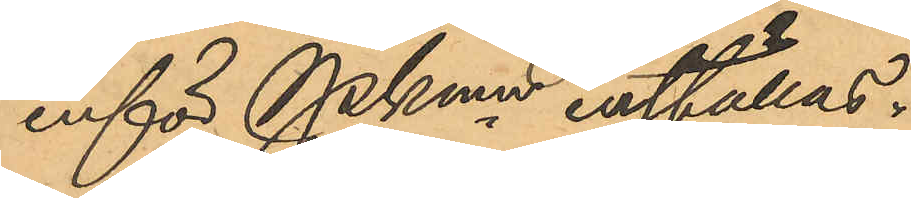inför PKmn inställas.
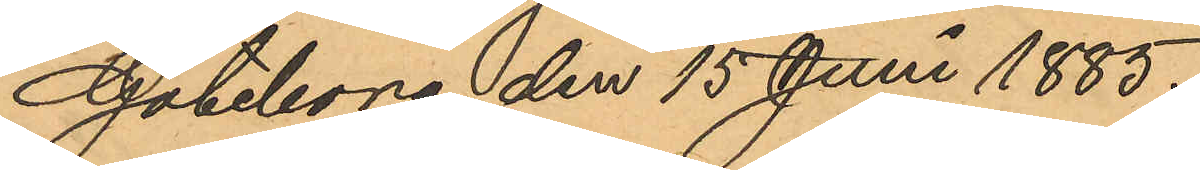Göteborg den 15 Juni 1885.
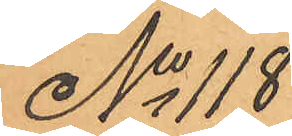No 118
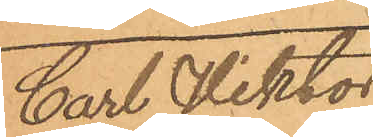Carl Viktor
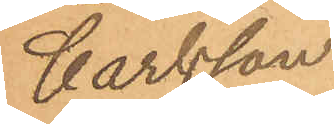Carlsson
